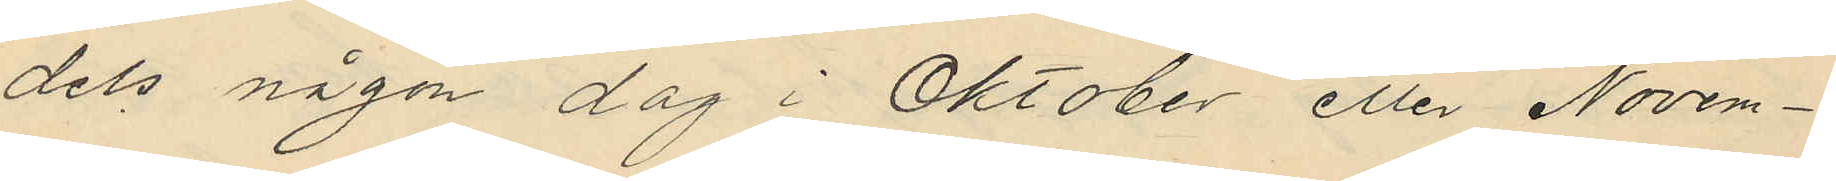dels någon dag i Oktober eller Novem¬
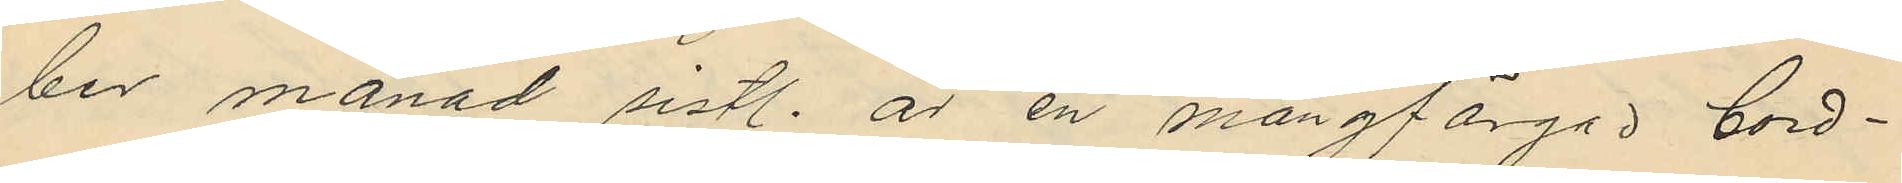ber månad sistl. år en mångfärgad bord¬
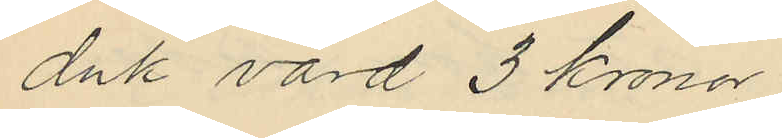duk värd 3 kronor
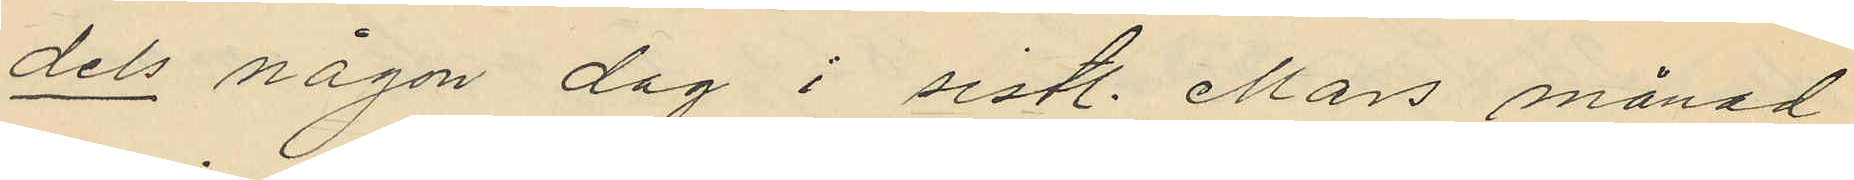dels någon dag i sistl. Mars månad
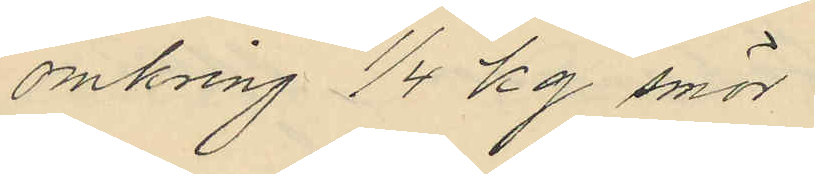omkring 1/4 kg smör
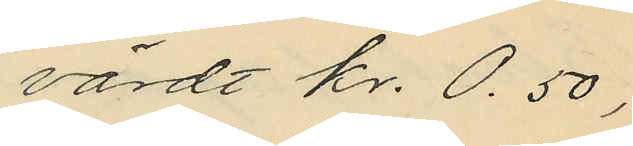värdt kr. 0.50,
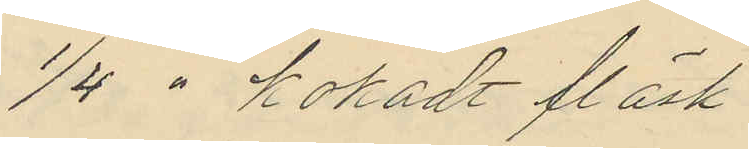1/4 " kokadt fläsk
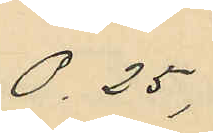0.25,
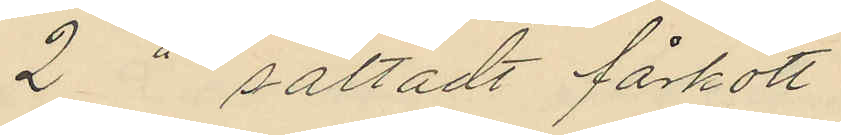2 " saltadt fårkött
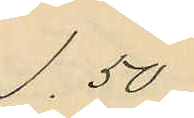1.50,
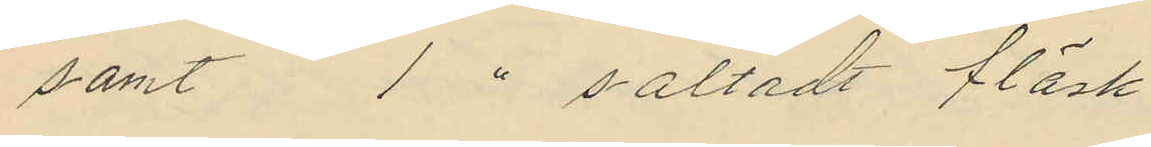samt 1 " saltadt fläsk
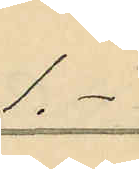1.-
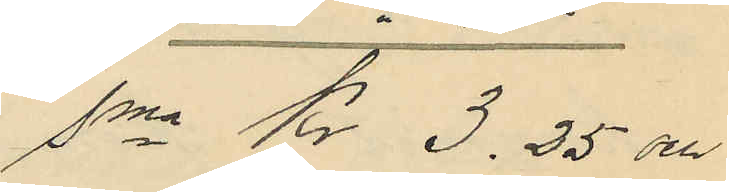Sma Kr 3.25 och
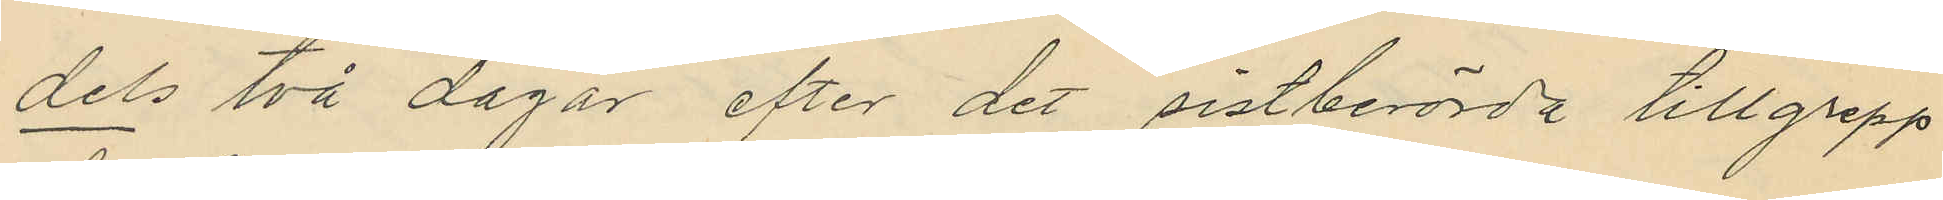dels två dagar efter det sistberörda tillgrepp
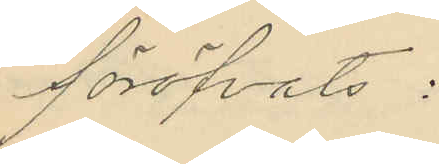föröfvats:
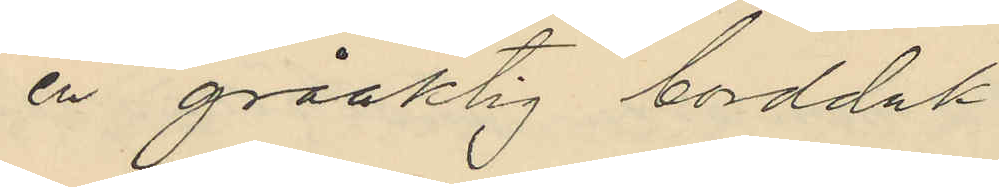en gråaktig bordduk
